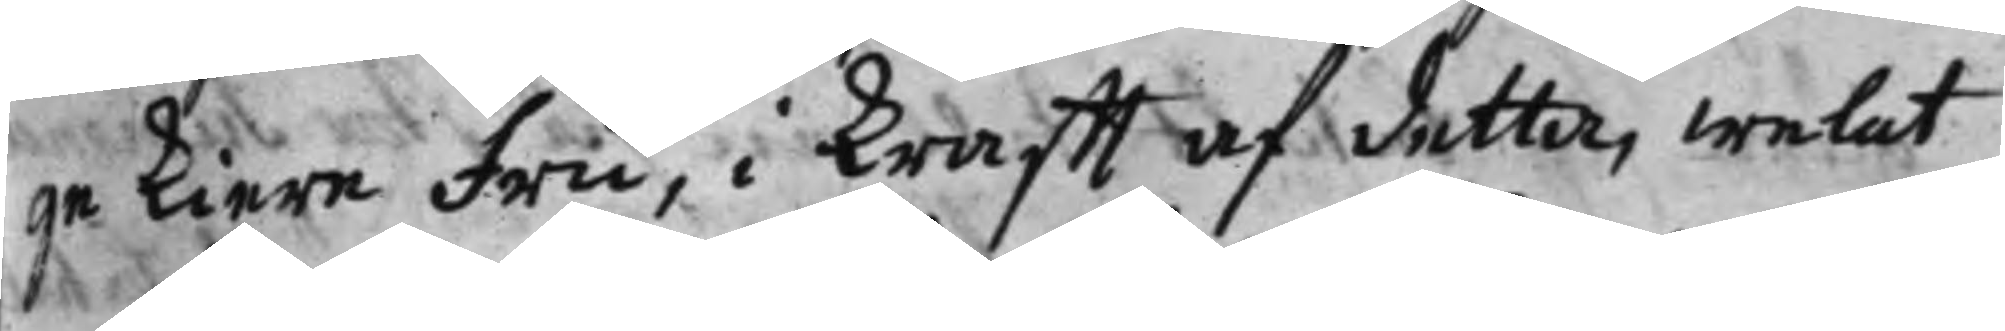ge kiere fru, i krafft af detta, welat
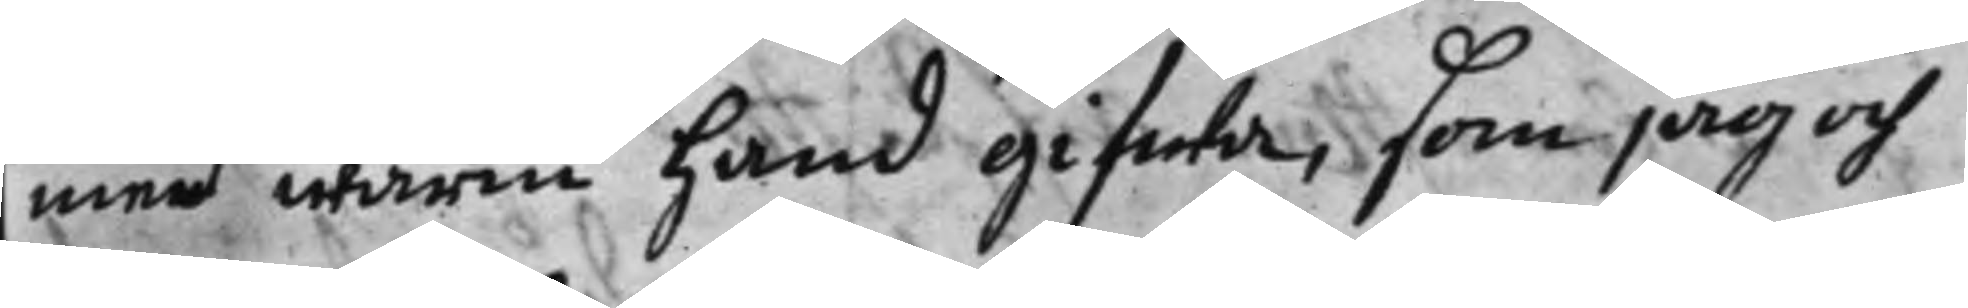med warm hand gifwa, som jag och
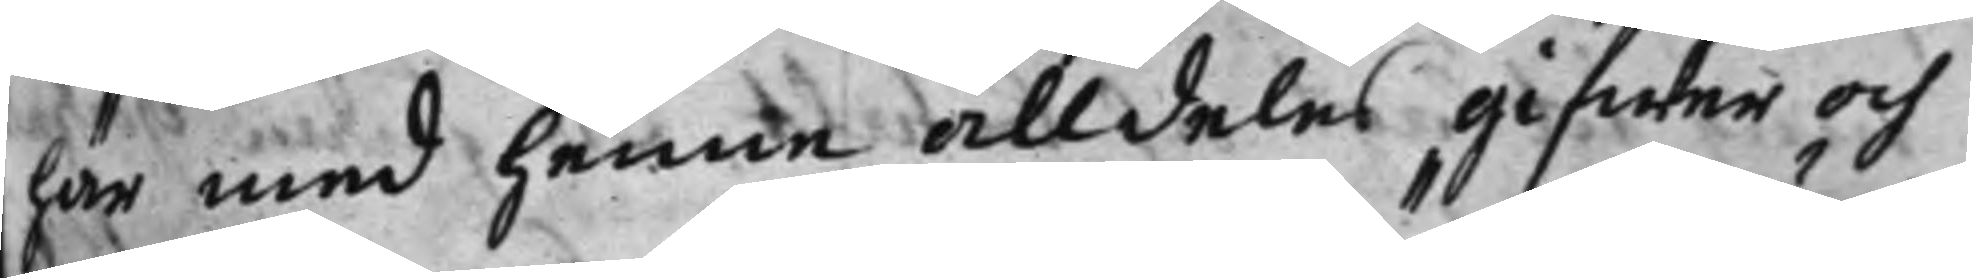här med henne alldeles gifwer och
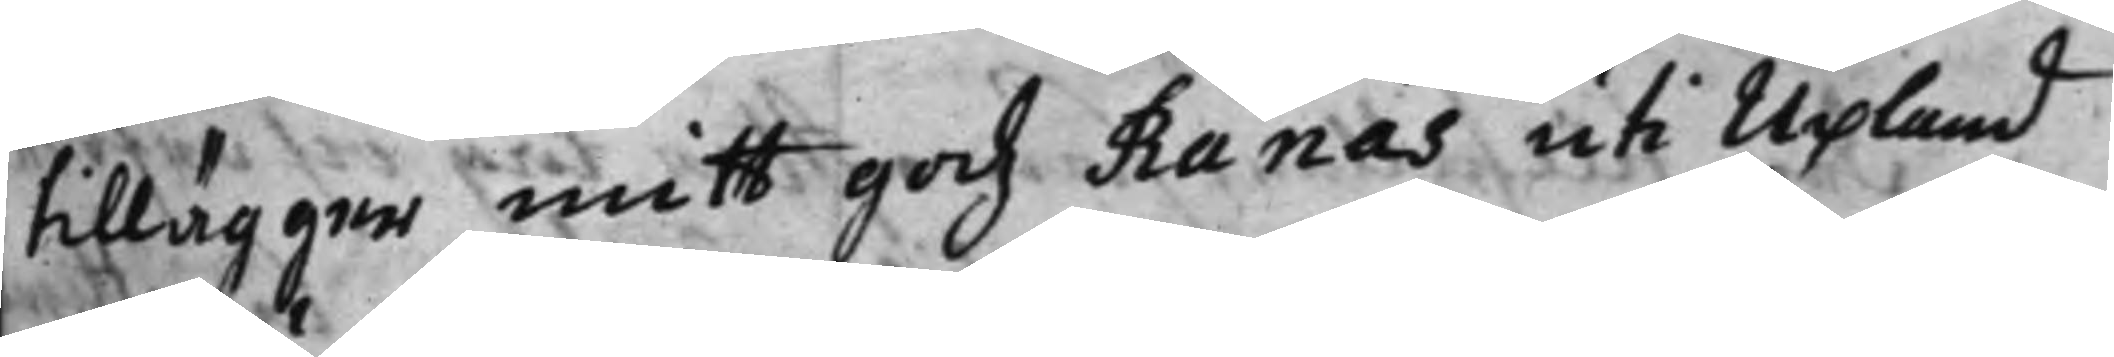tillägger mitt godz Rånäs uti Upland
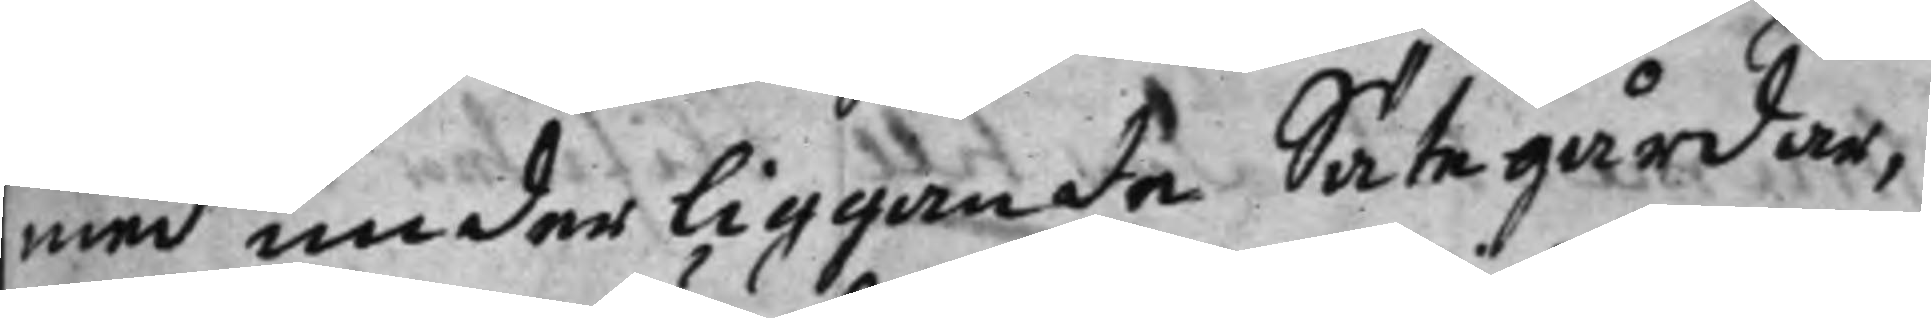med underliggande Såtegårdar,
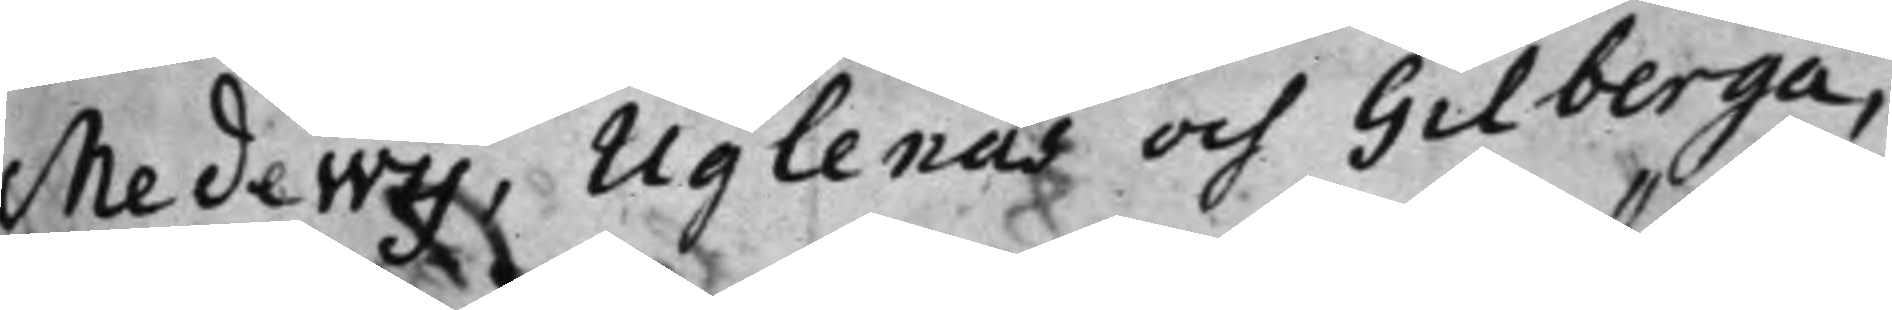Medewij, Uglenäs och Gilberga,
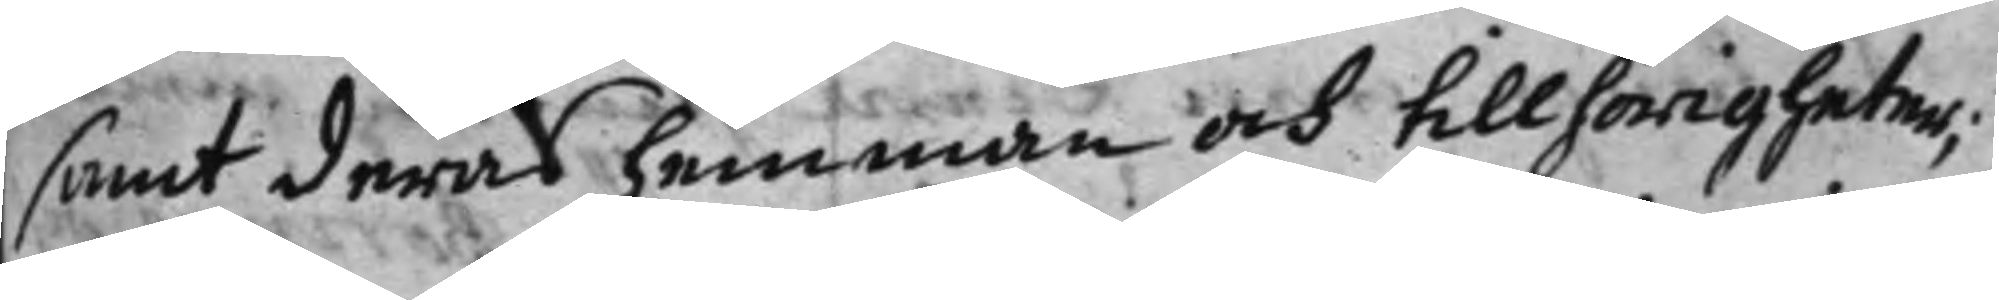samt deras hemman och tillhörigheter;
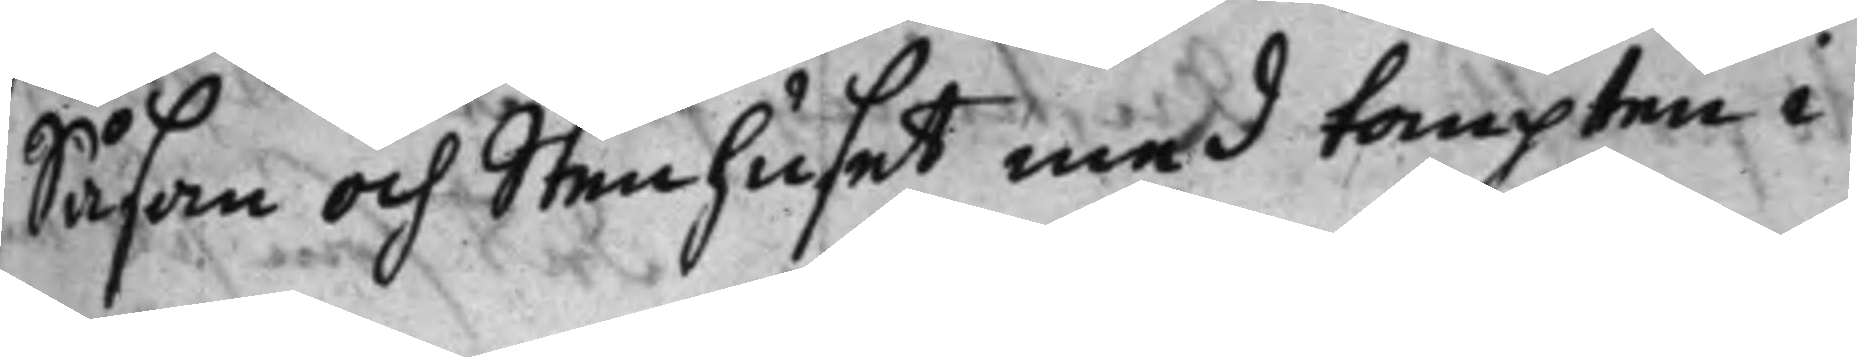Såsom och Stenhuset med tompten i
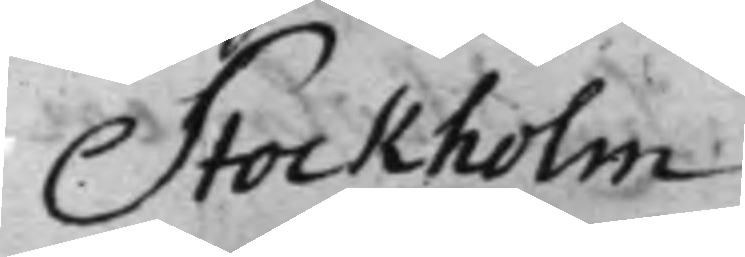Stockholm
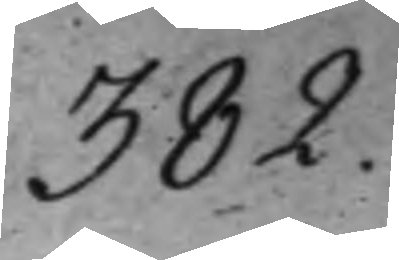382.
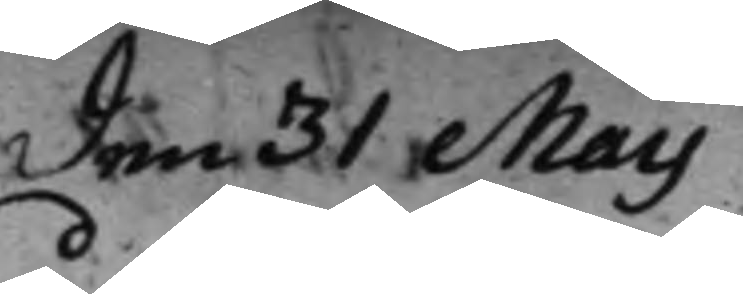den 31 Maij
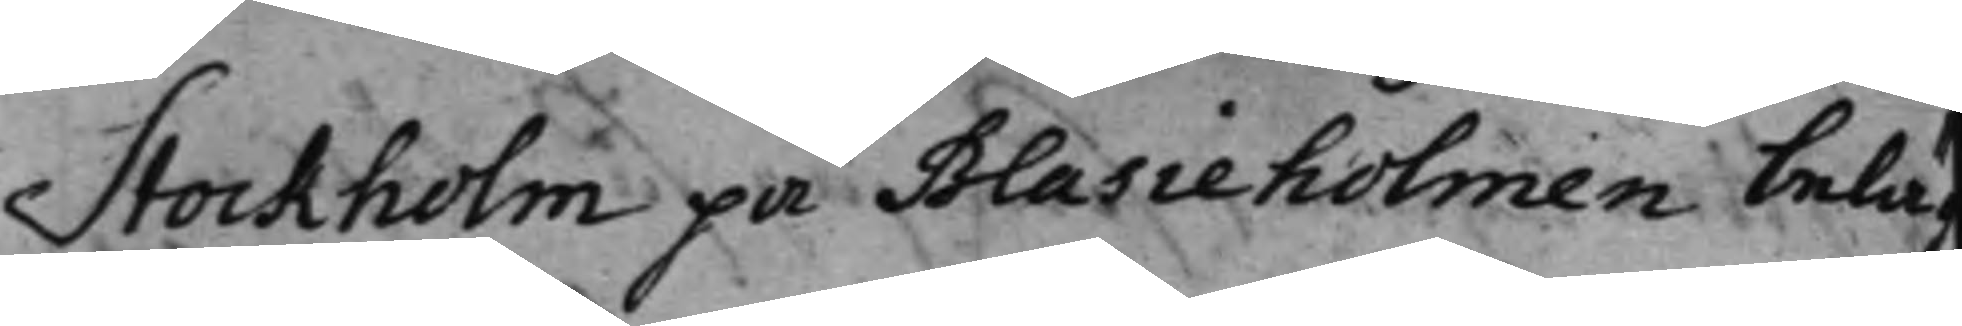Stockholm på Blasieholmen beläg
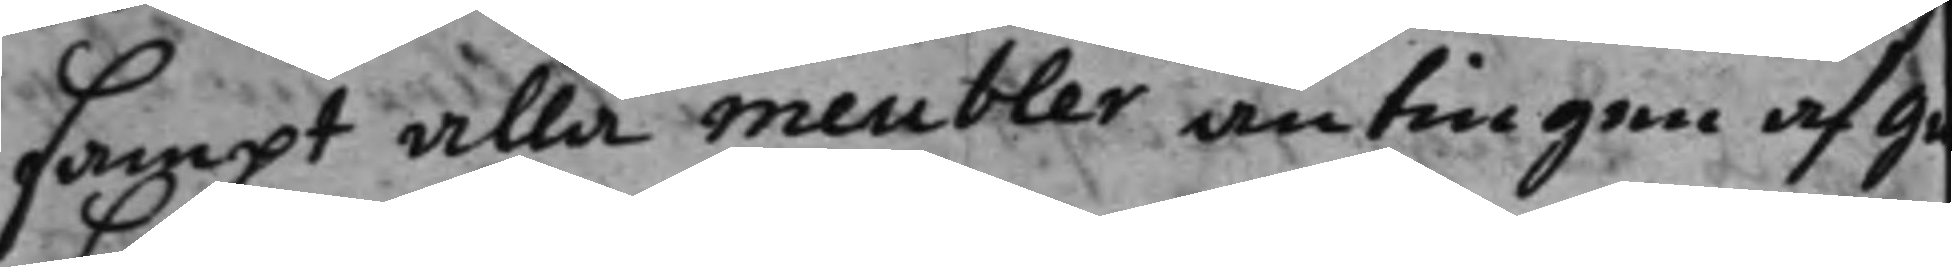sampt alla meubler antingen af gu
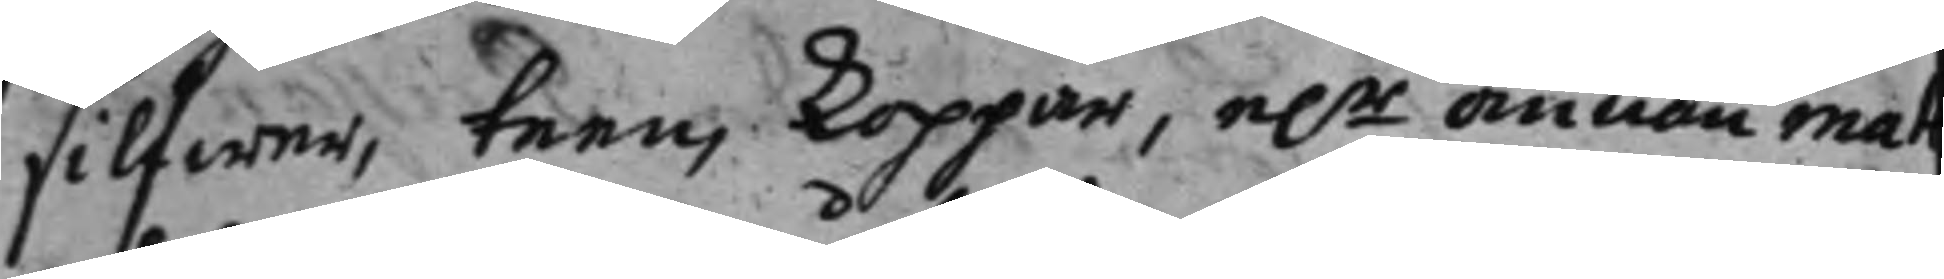silfwer, tenn, koppar, e:r annan mal
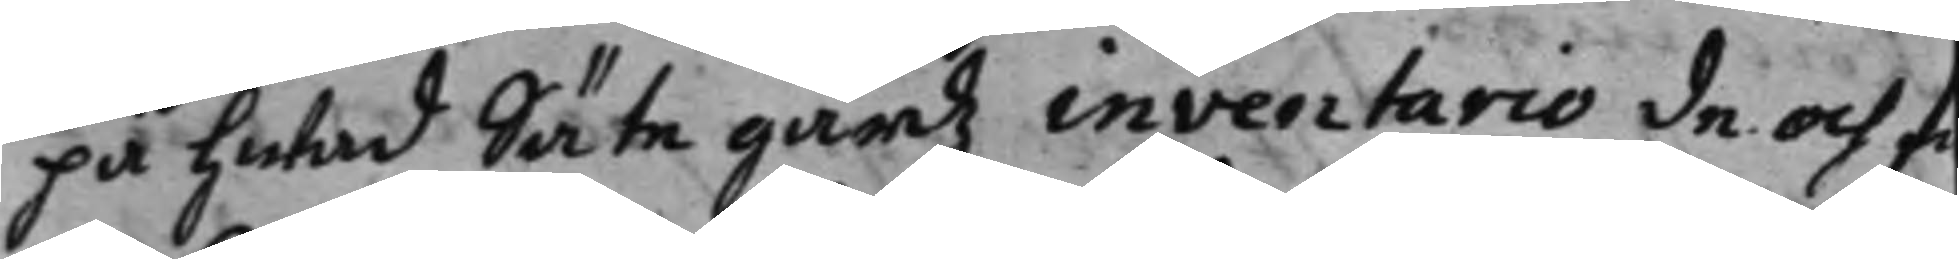på hwad Säte gårdz inventario de och fi
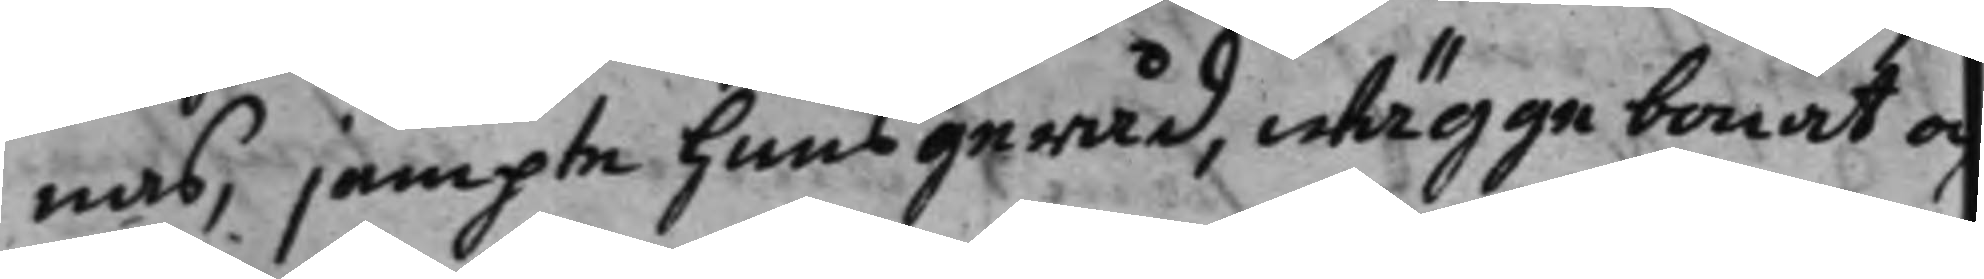nas, jempte huusgeråd, wäggebonat oc
